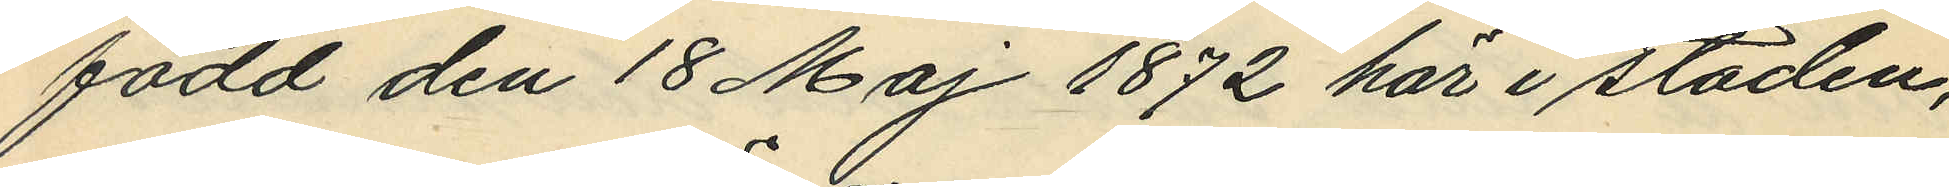född den 18 Maj 1872 här i staden,
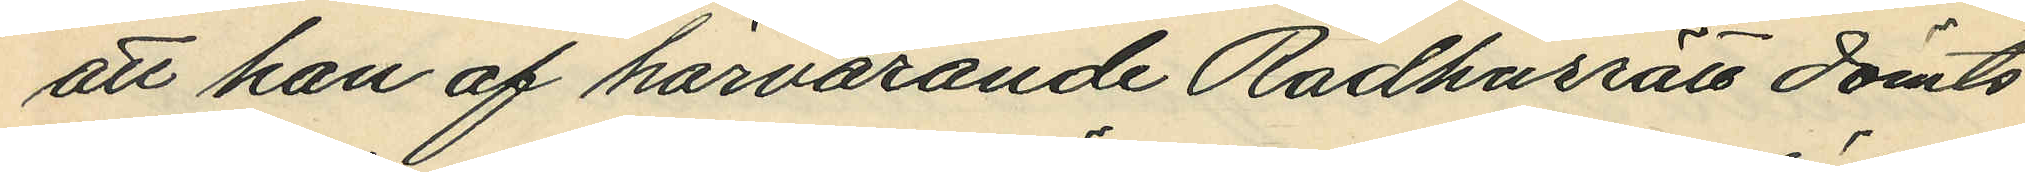att han af härvarande Radhusrätt dömts
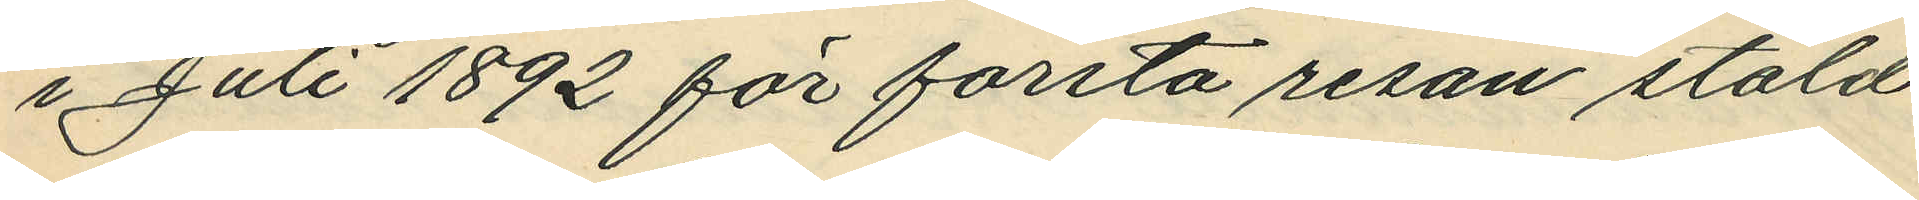i Juli 1892 för första resan stöld
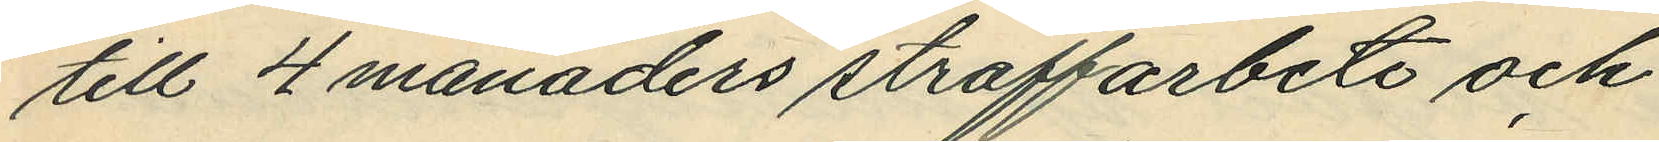till 4 månaders straffarbete och
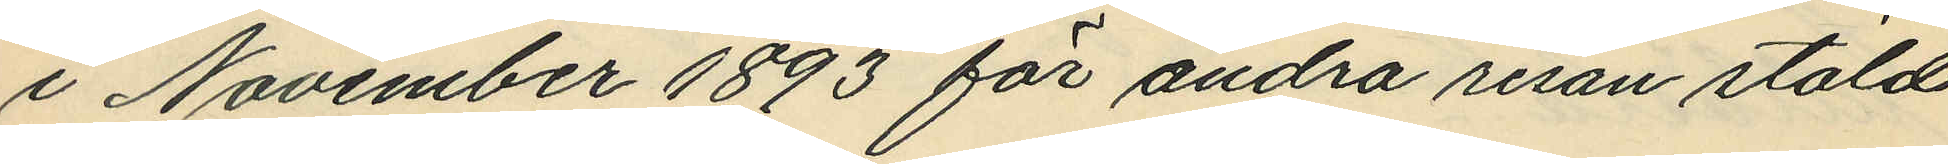i November 1893 för andra resan stöld
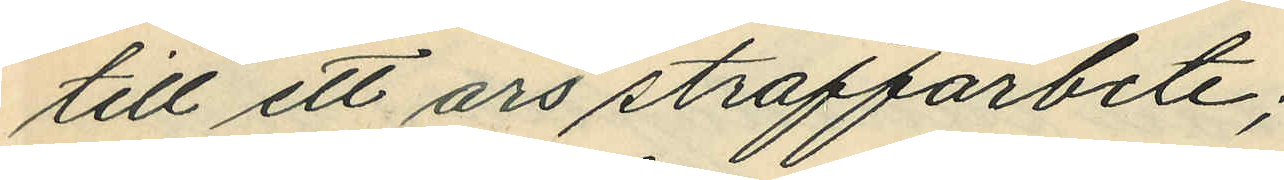till ett års straffarbete;
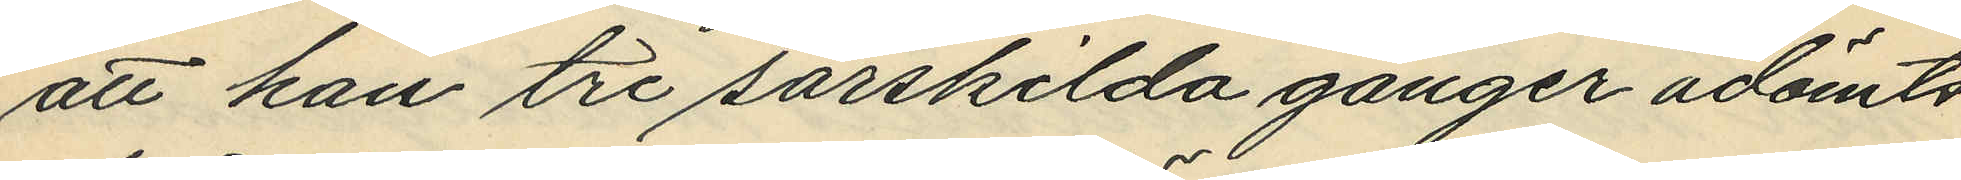att han tre särskilda gånger ådömts
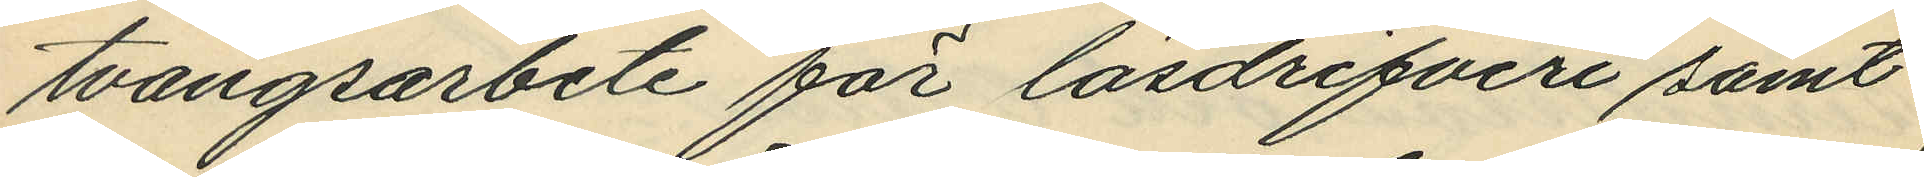tvångsarbete för lösdrifveri samt
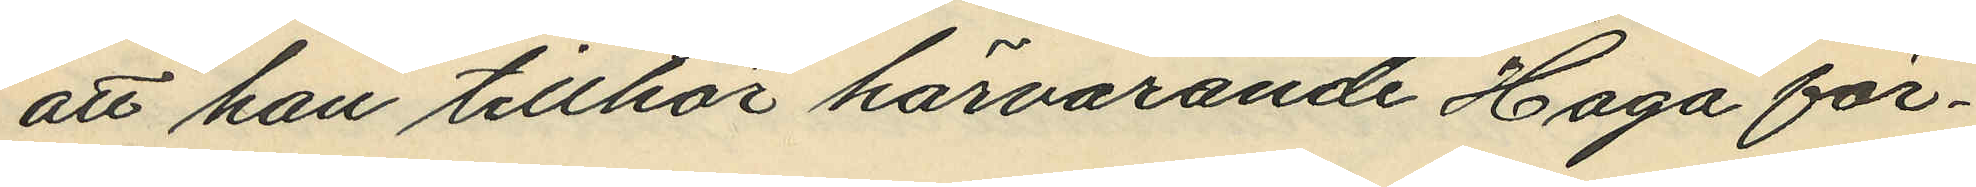att han tillhör härvarande Haga för¬
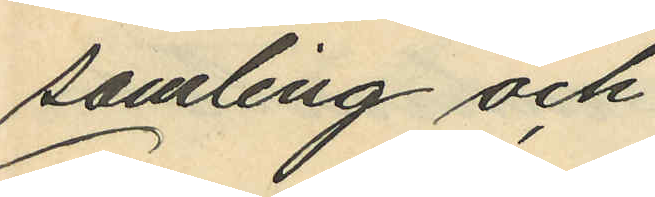samling och
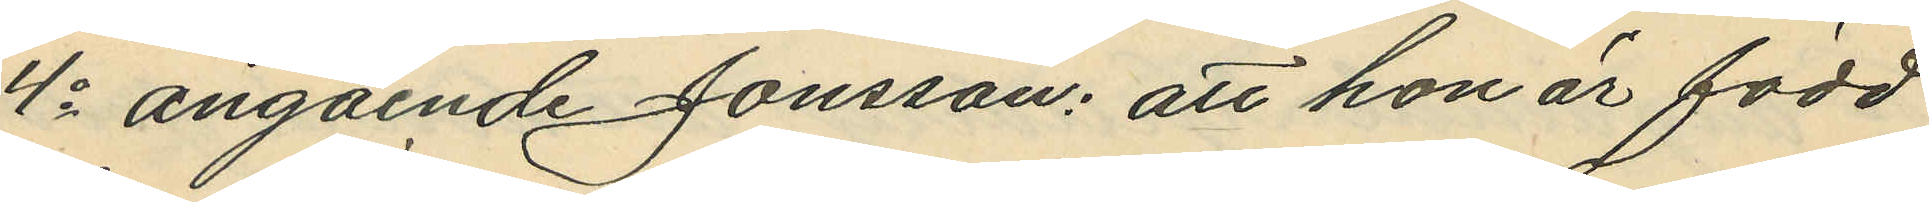4o angående Jonsson: att hon är född
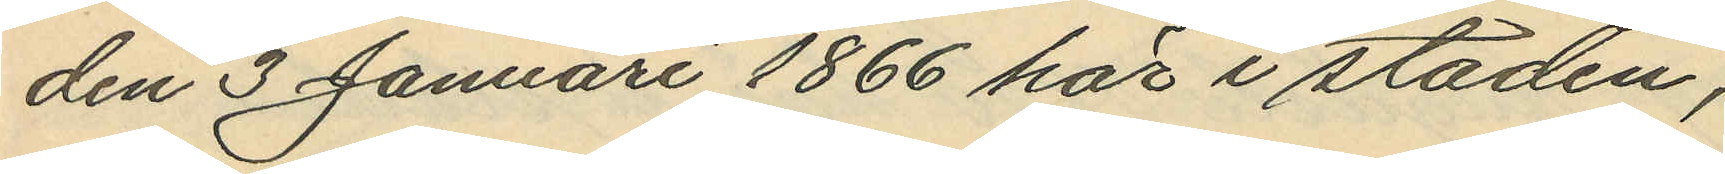den 3 Januari 1866 här i staden;
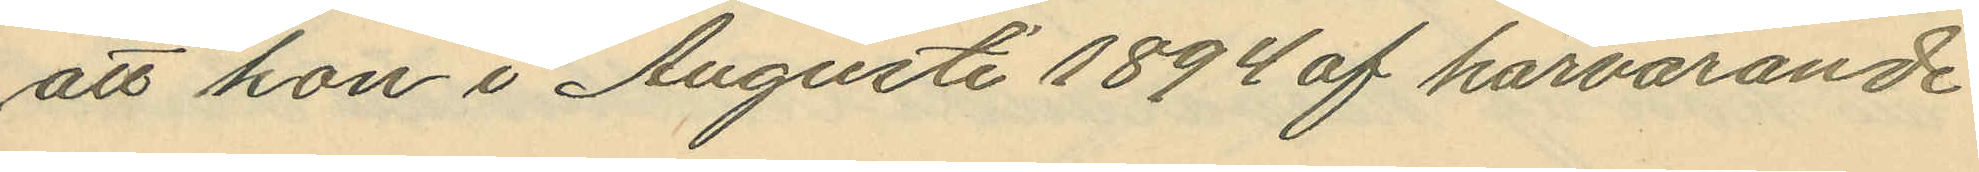att hon i Augusti 1894 af härvarande
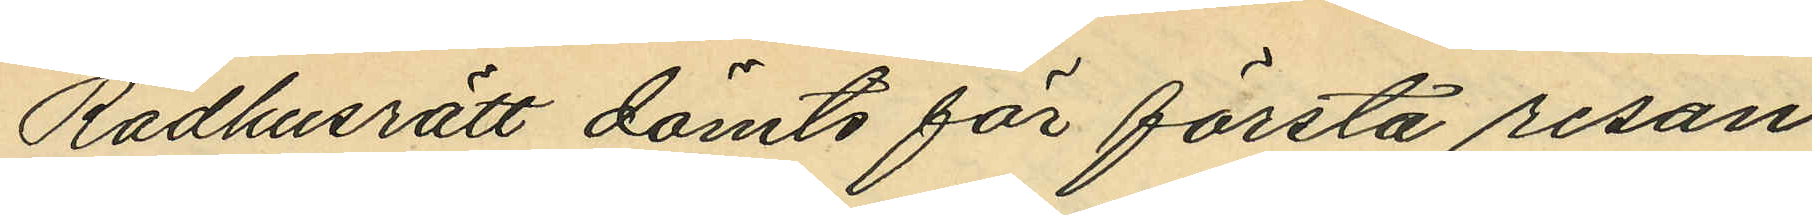Rådhusrätt dömts för första resan
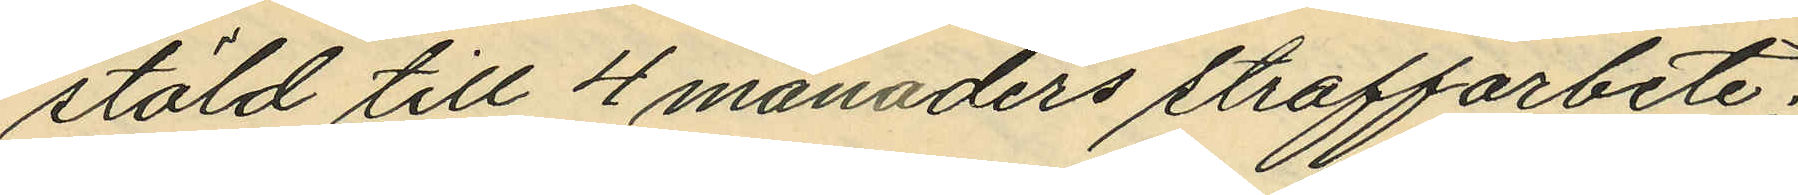stöld till 4 månaders straffarbete;
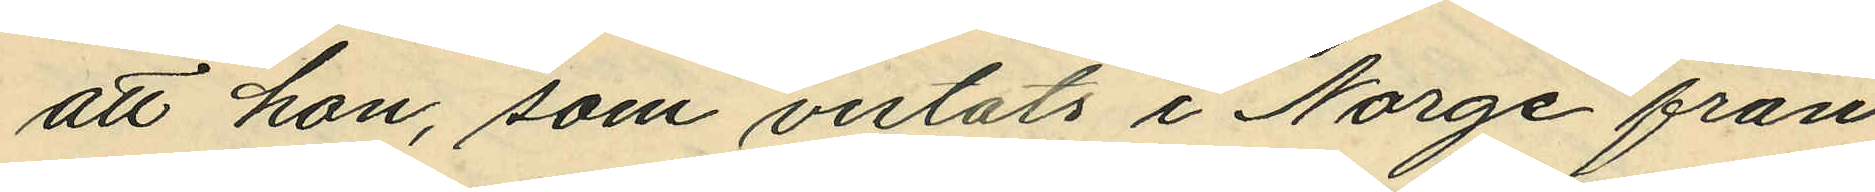att hon, som vistats i Norge från
